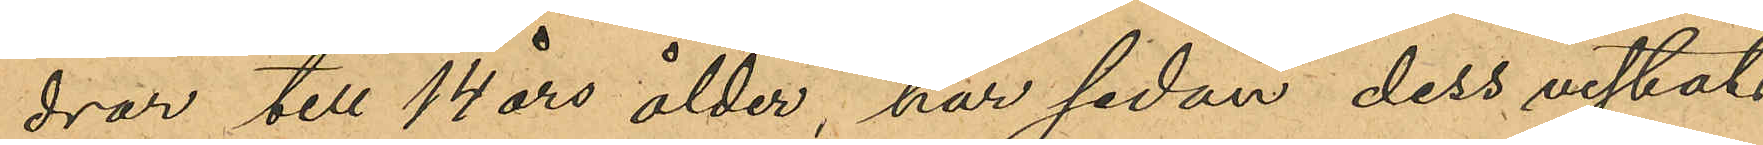drar till 14 års ålder, har sedan dess vistats
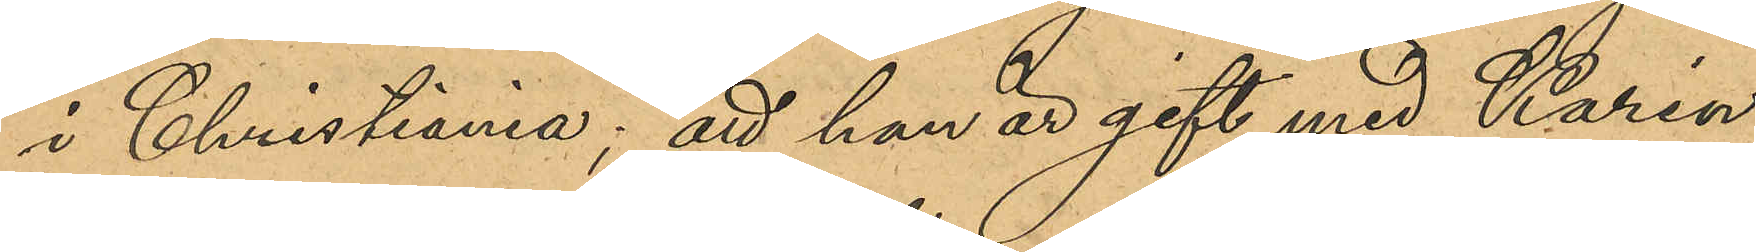i Christiania; att han är gift med Karin
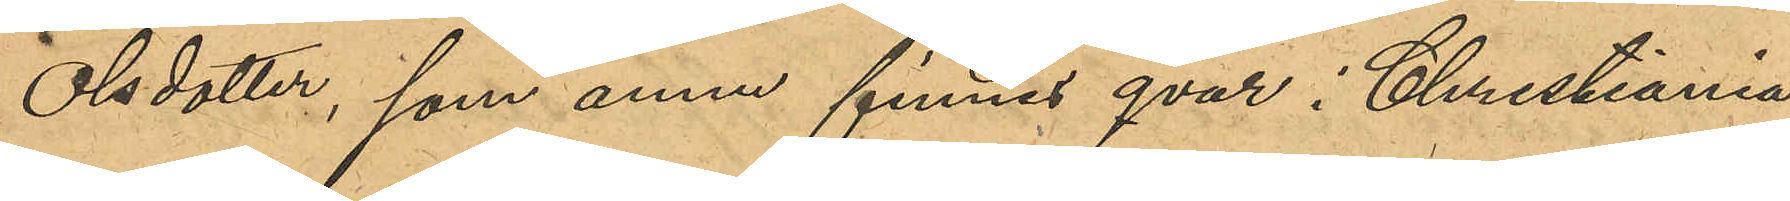Olsdotter, som annu finnes qvar i Christiania;
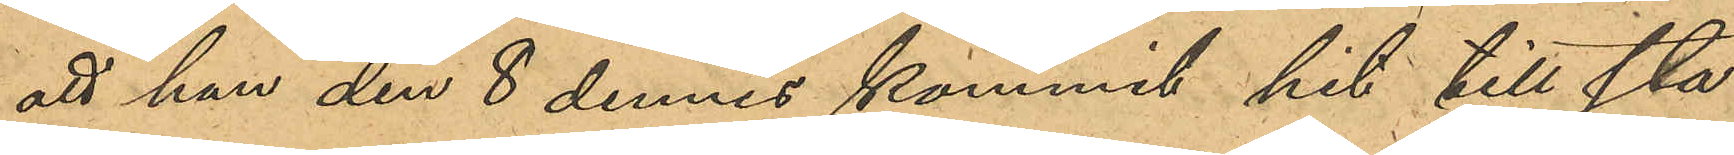att han den 8 dennes kommit hit till sta¬
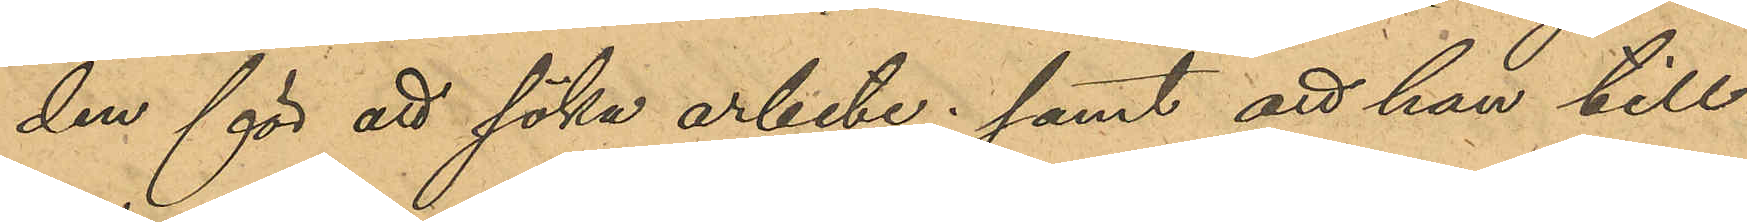den för att söka arbete; samt att han till¬
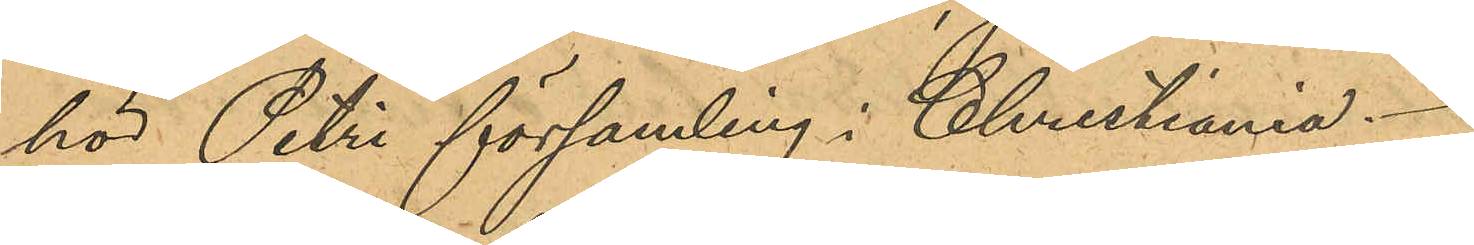hör Petri församling i Christiania.
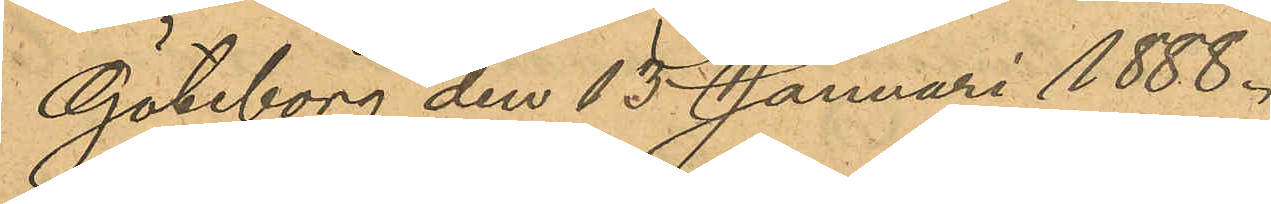Göteborg den 13 Januari 1888.
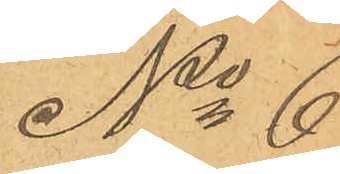No 6
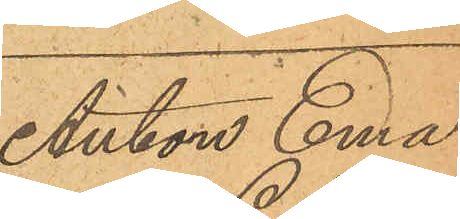Anton Ema¬
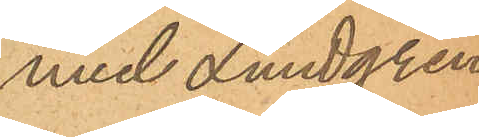nuel Lundgren
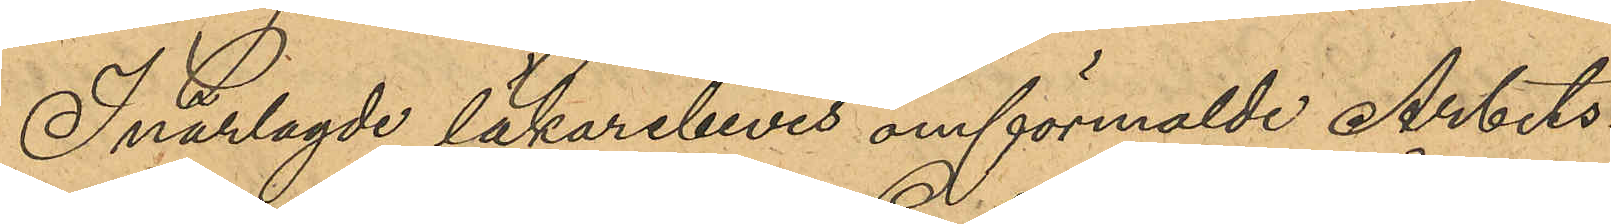I närlagde läkarebevis omförmälde Arbets¬
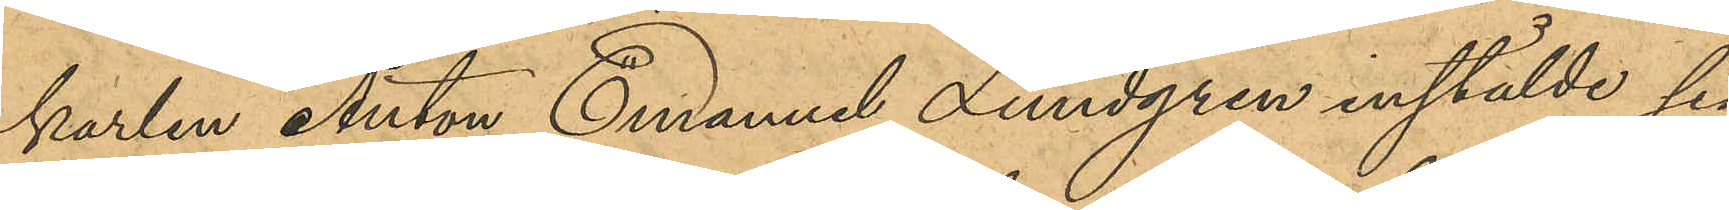karlen Anton Emanuel Lundgren inställde sig
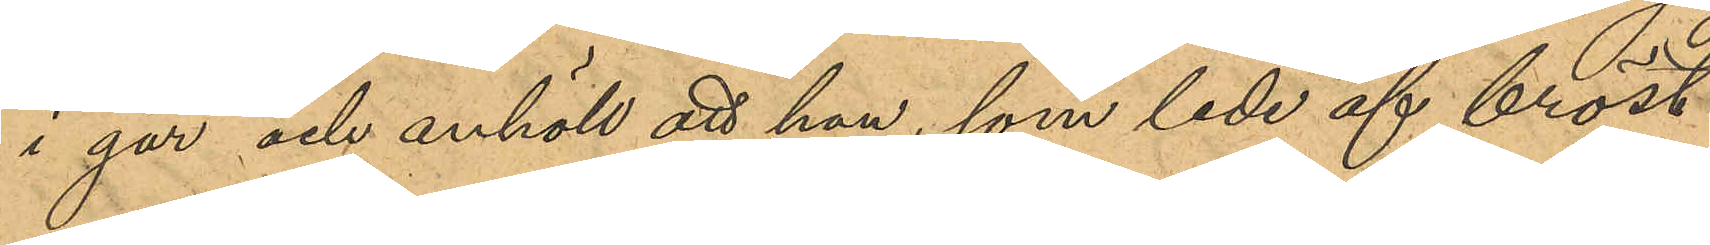i går och anhöll att han, som lede af bröst¬
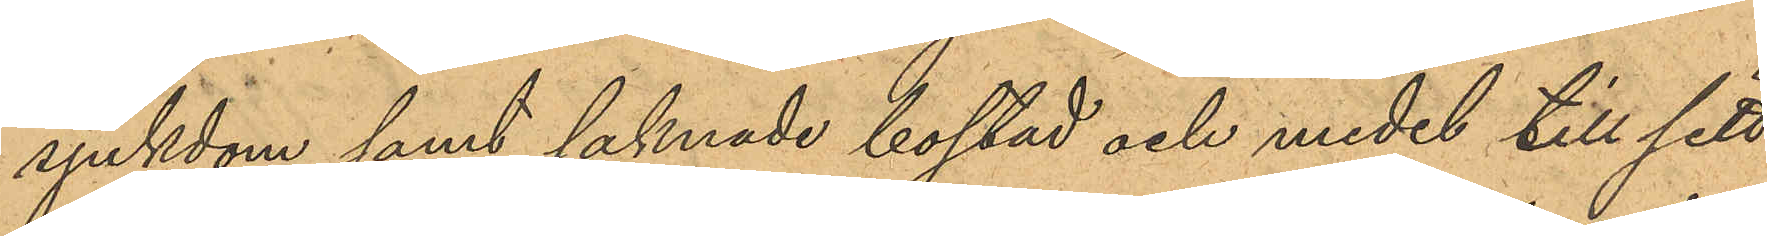sjukdom samt saknade bostad och medel till sitt
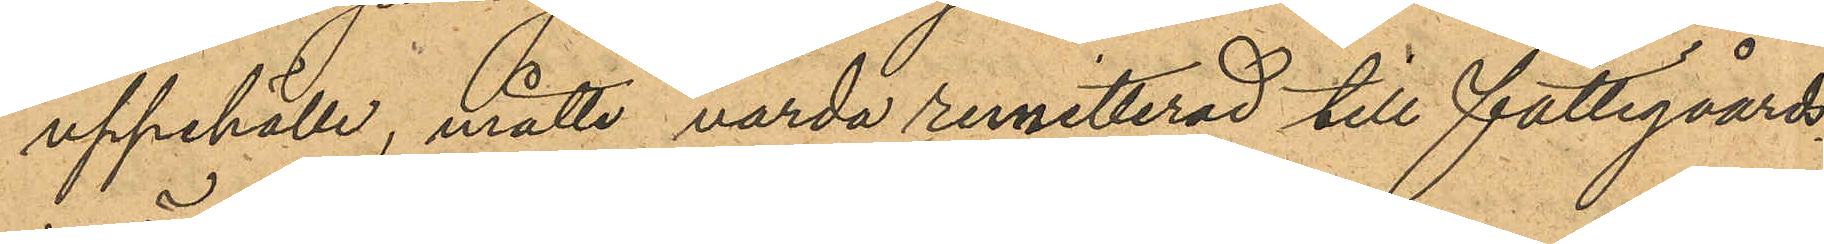uppehälle, måtte vara remitterad till fattigvårds¬
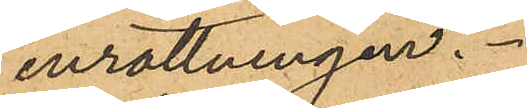inrättningen.
